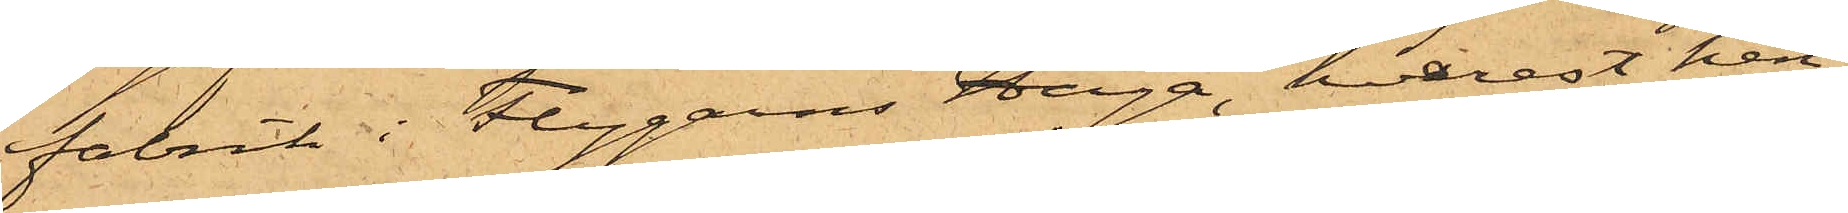fabrik i Flygens Haga, hvarest hen¬
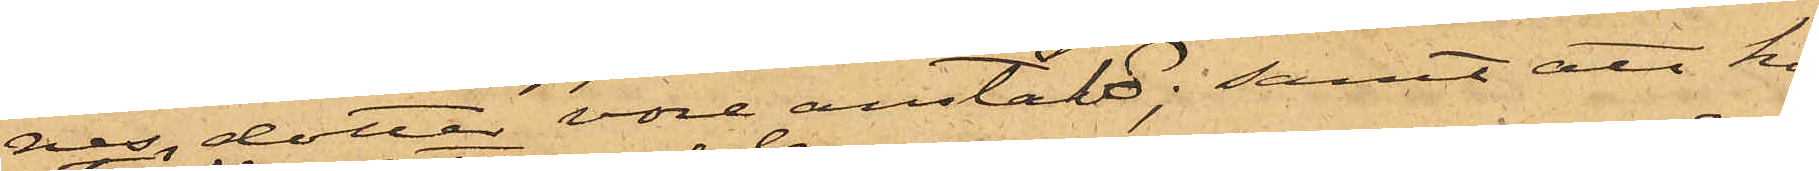nes dotter vore anstäld; samt att hon
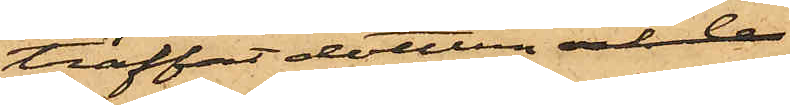träffat dottern och b
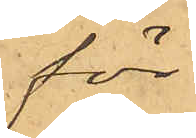för
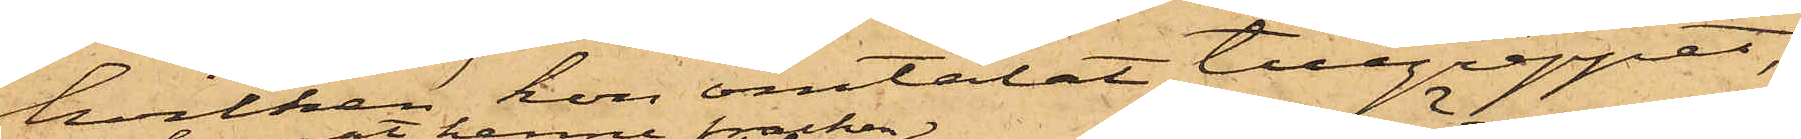hvilken hon omtalat tillgreppet,
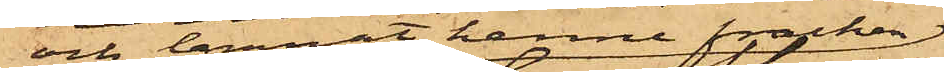och lemnat henne fracken
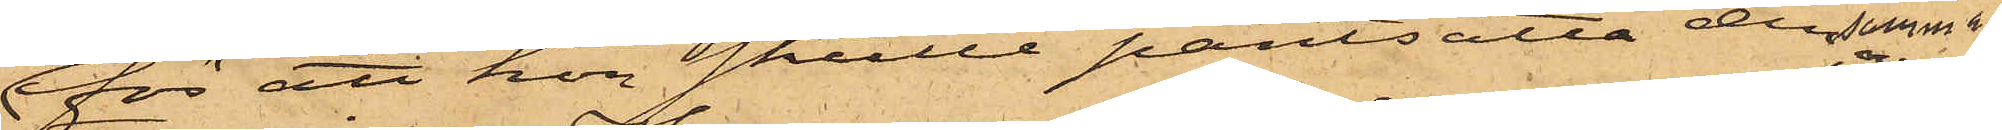för att hon skulle pantsatta densamma, och
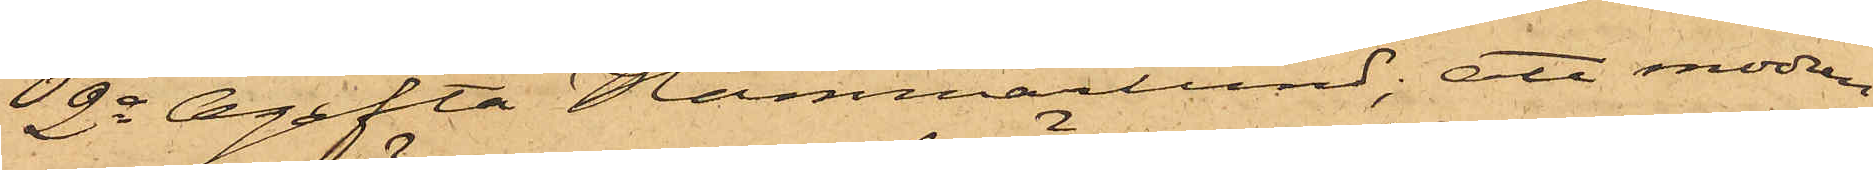2o Ogifta Hammarlund; att modren
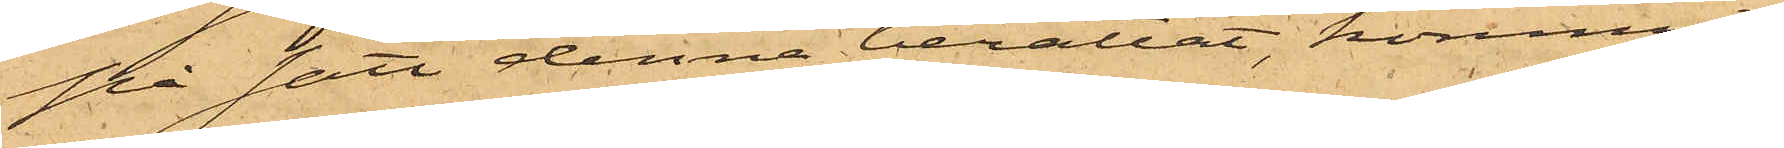på sätt denna berättat, kommit
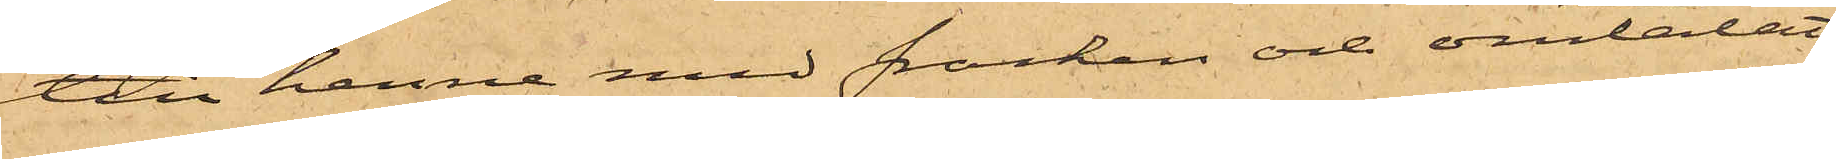till henne med fracken och omtalat
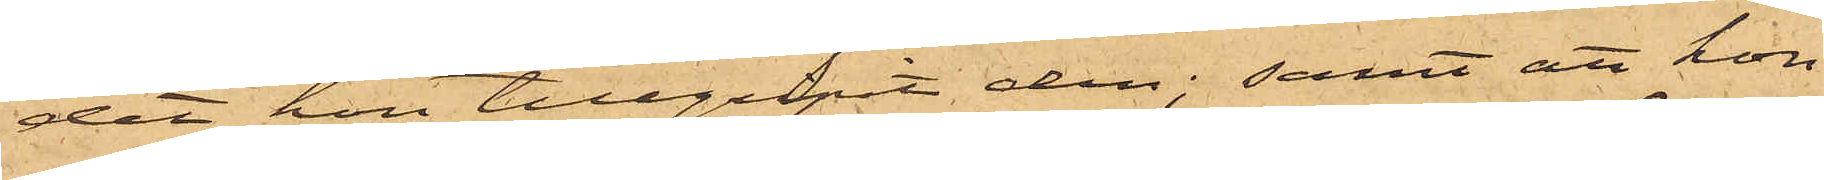det hon tillgripit den; samt att hon
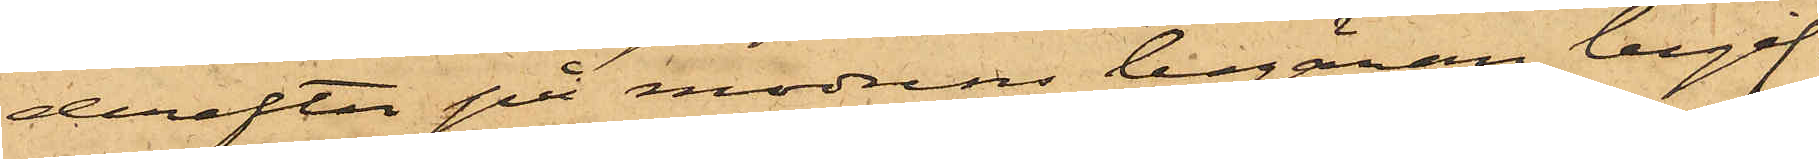derefter på modrens begäran begif¬
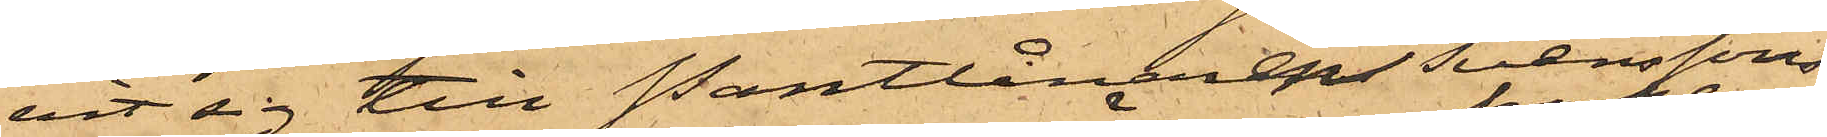vit sig till Pantlånarens Svenssons
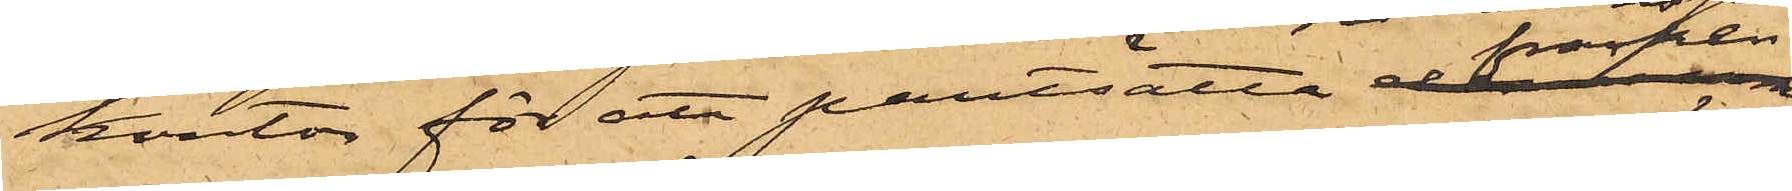Kontor för att pantsatta fracken,
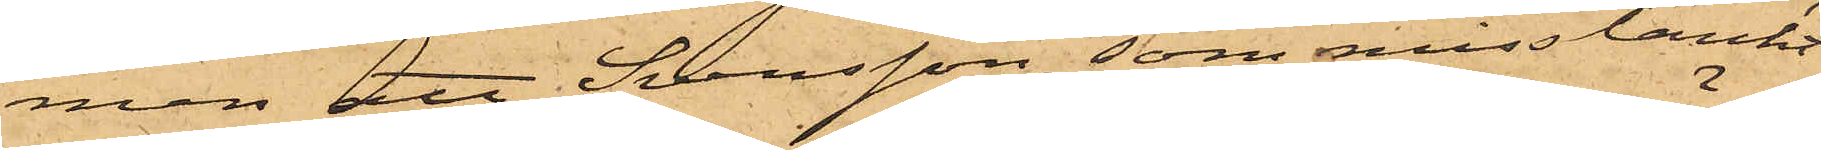men att Svensson, som misstänkt
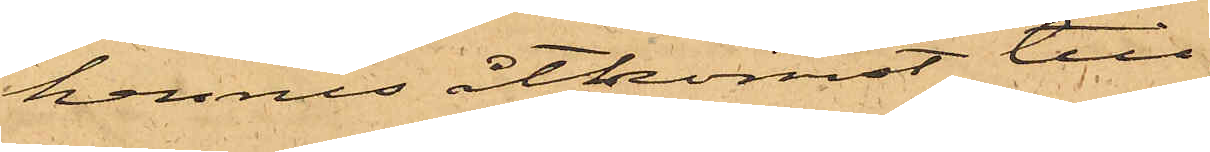hennes åtkomst till
